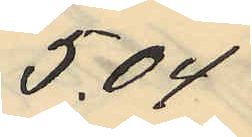5.04
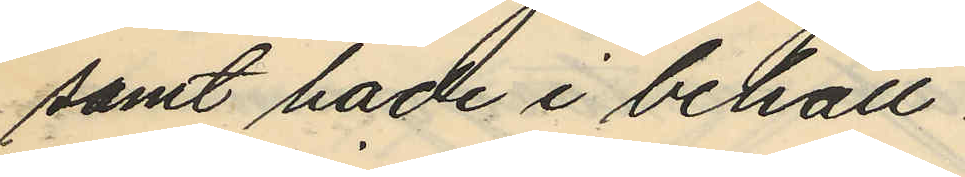samt hade i behåll
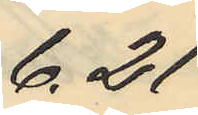6.21
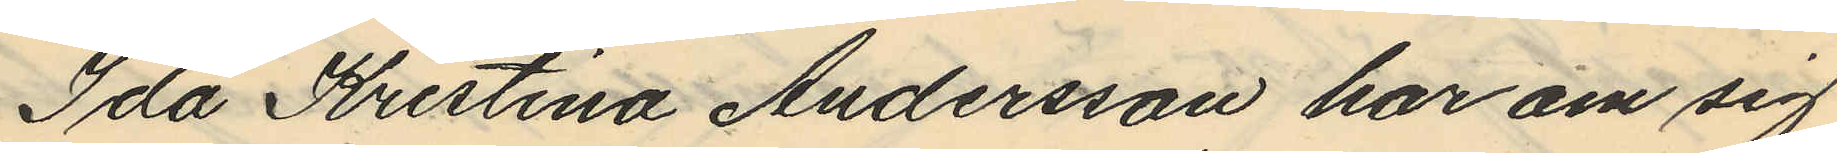Ida Kristina Andersson har om sig
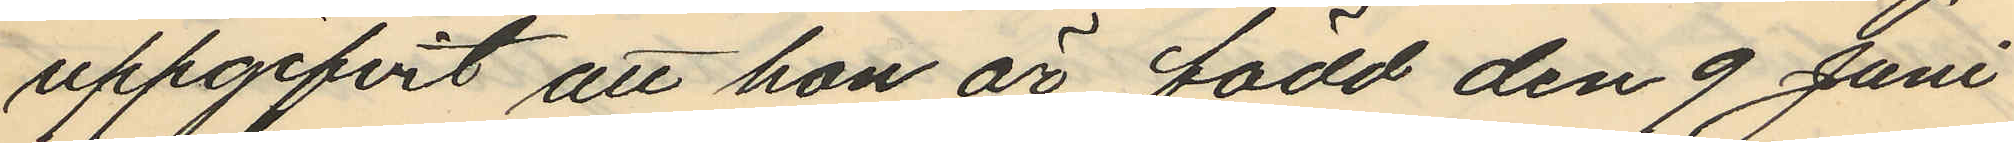uppgifvit att hon är född den 9 Juni
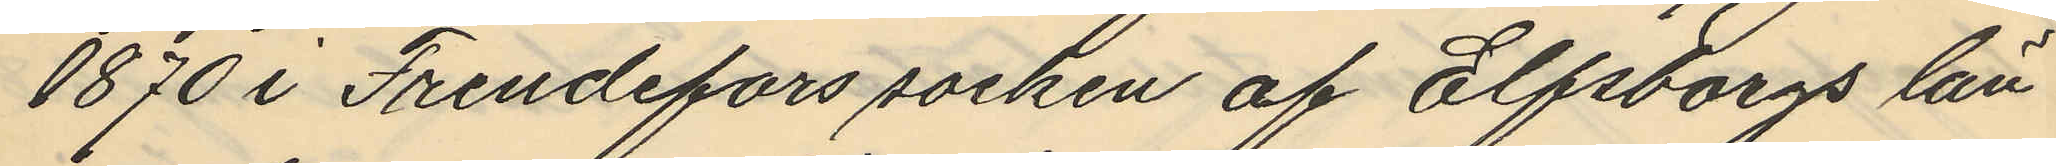1870 i Frendefors socken af Elfsborgs län
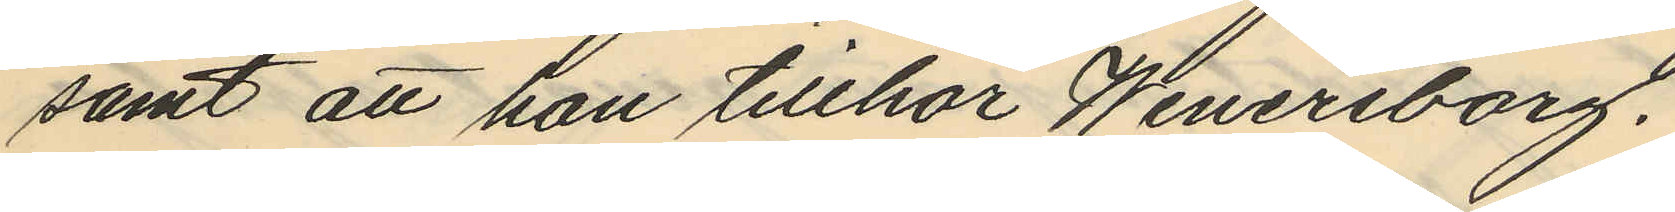samt att hon tillhör Wenersborg.
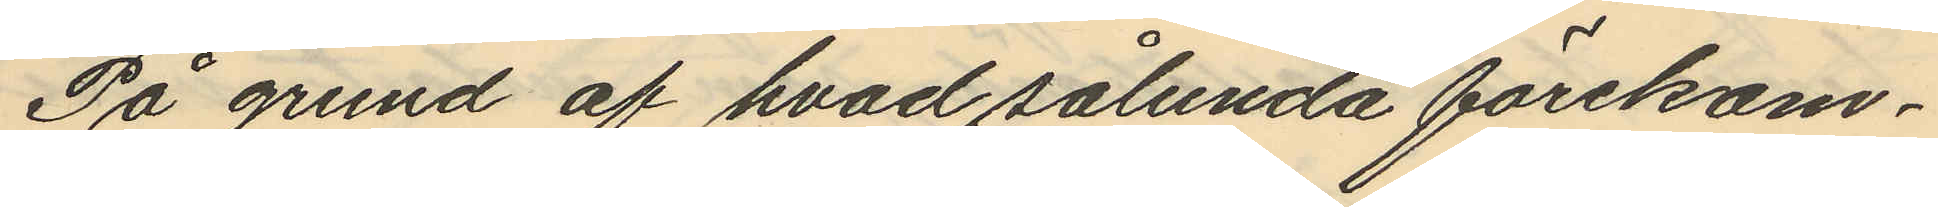På grund af hvad sålunda förekom¬
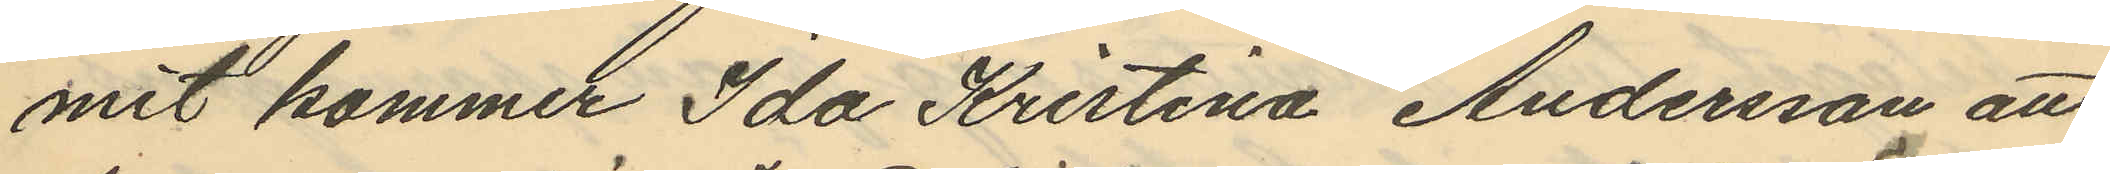mit kommer Ida Kristina Andersson att
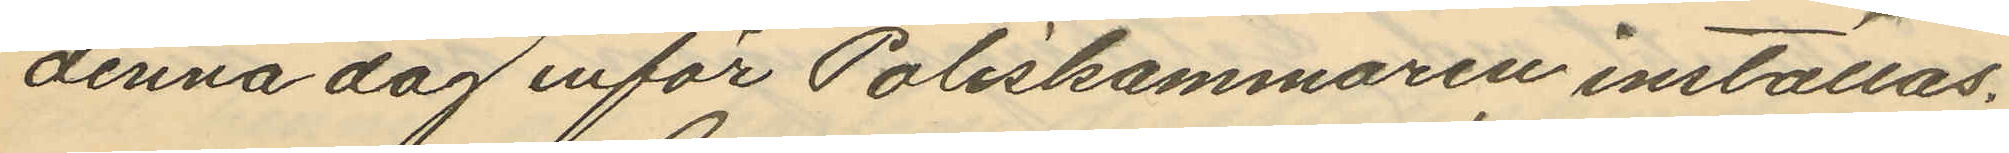denna dag inför Poliskammaren inställas.
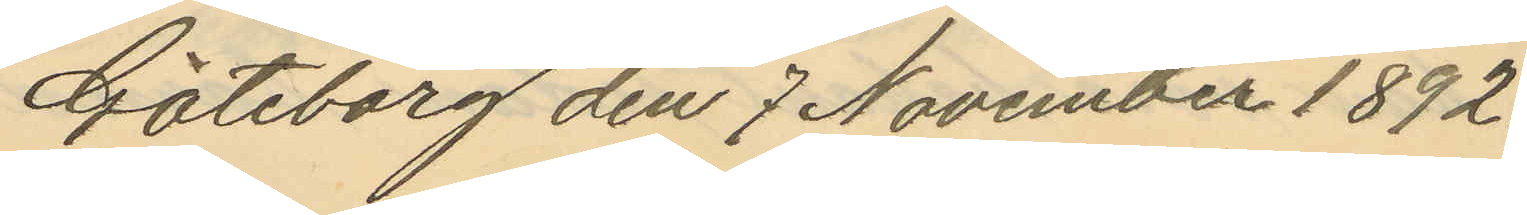Göteborg den 7 November 1892.
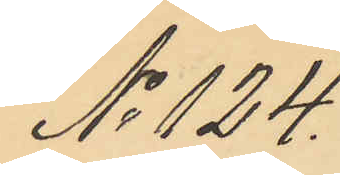No 124.
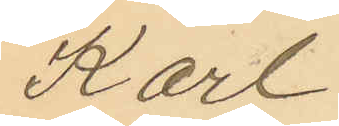Karl
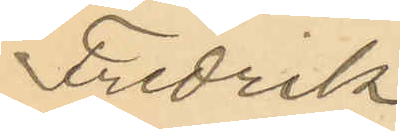Fredrik
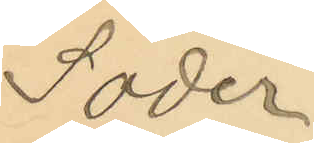Söder
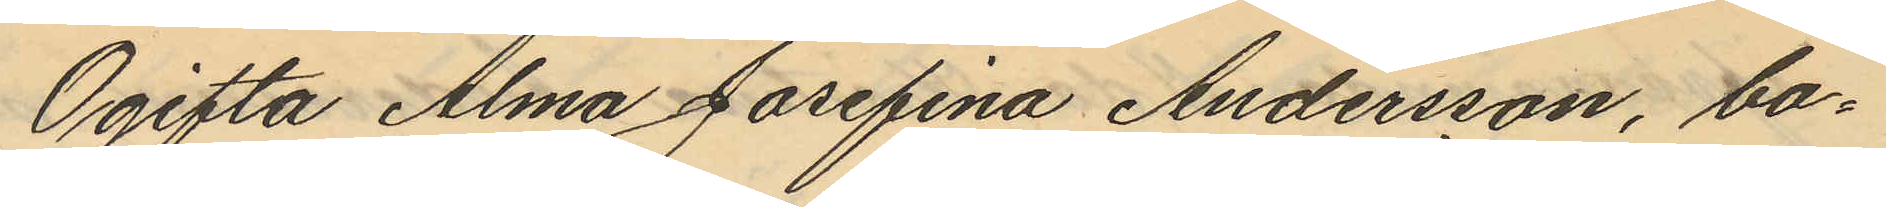Ogifta Alma Josefina Andersson, bo¬
